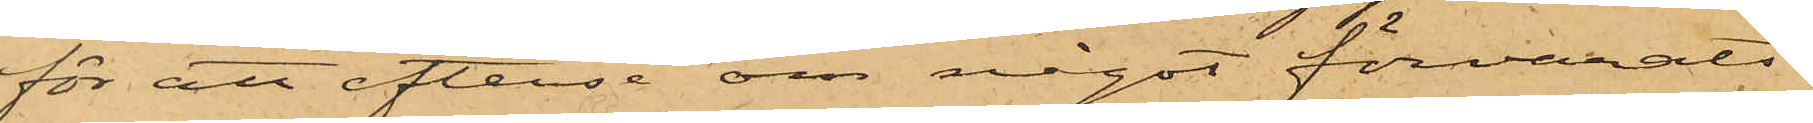för att efterse om något förvarats
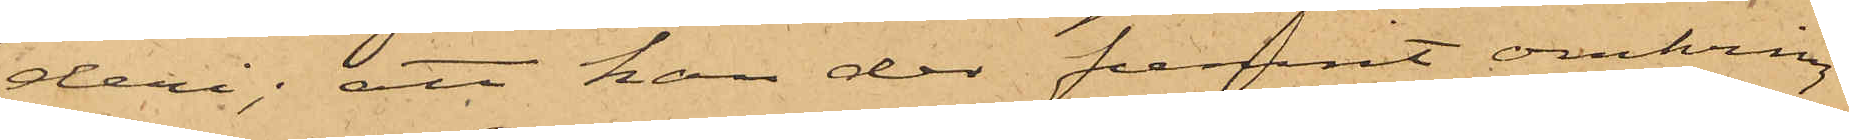deri; att han der funnit omkring
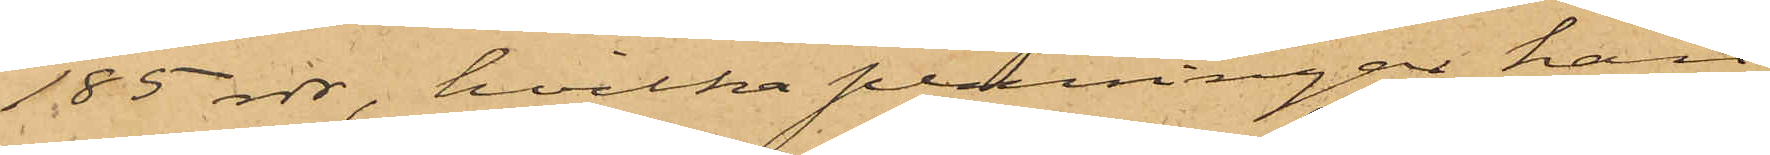185 rdr, hvilka penningar han
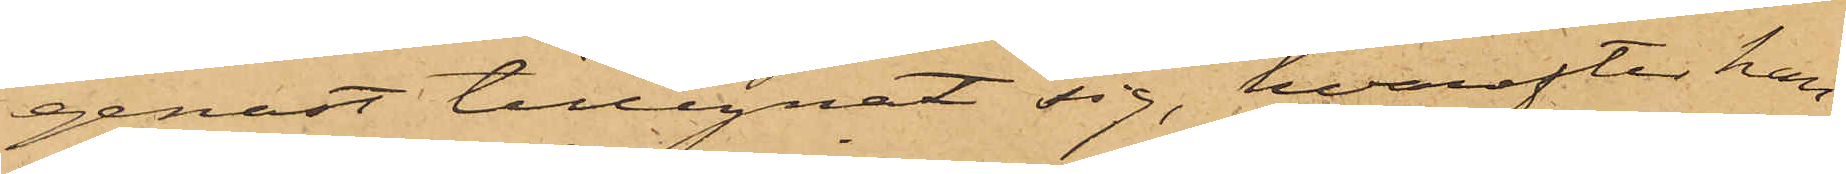genast tillegnat sig, hvarefter han
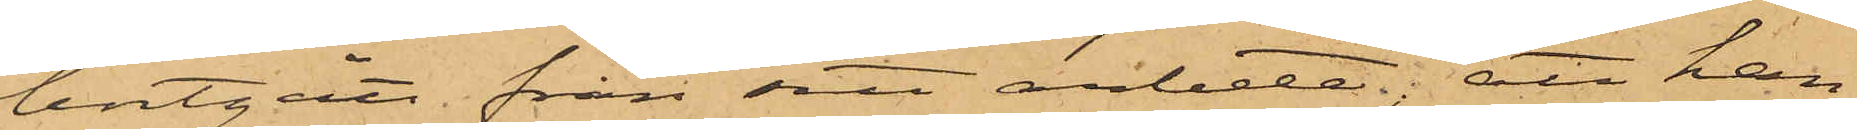bortgått från sitt arbete; att han
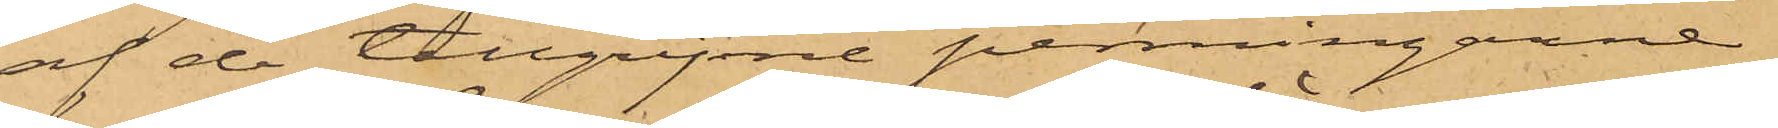af de tillgripne penningarne
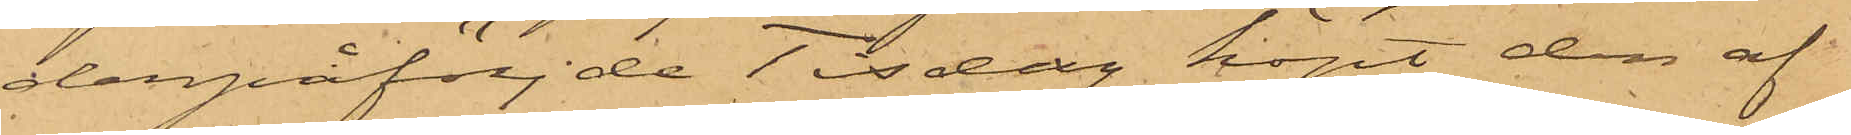derpåföljde Tisdag köpt den af
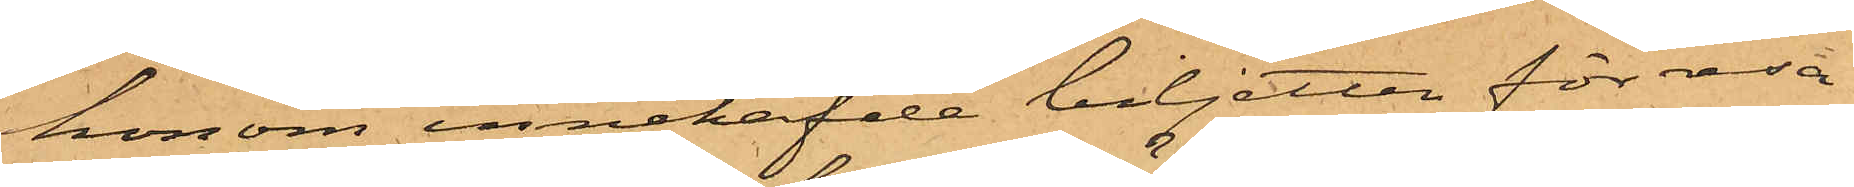honom innehafde biljetten för resa
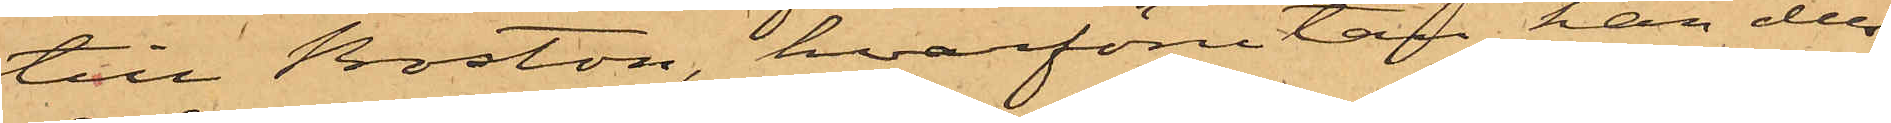till Boston, hvarförutan han dels
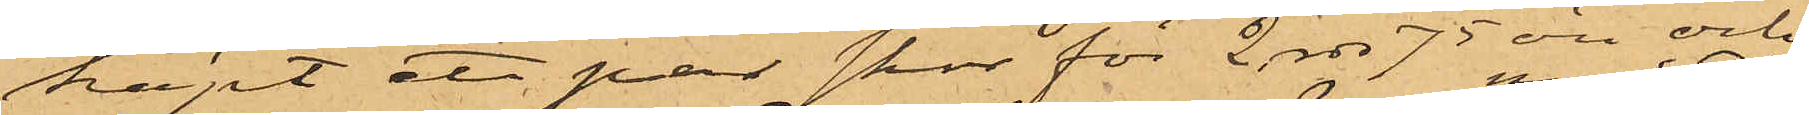köpt ett par skor för 2 rdr 75 öre och
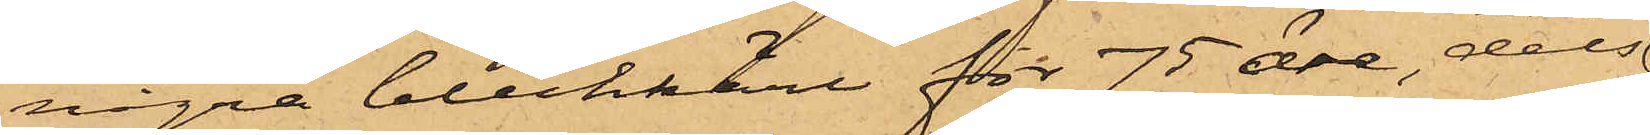några bleckkärl för 75 öre, dels
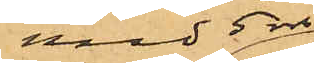med 5 rdr
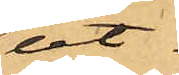ut¬
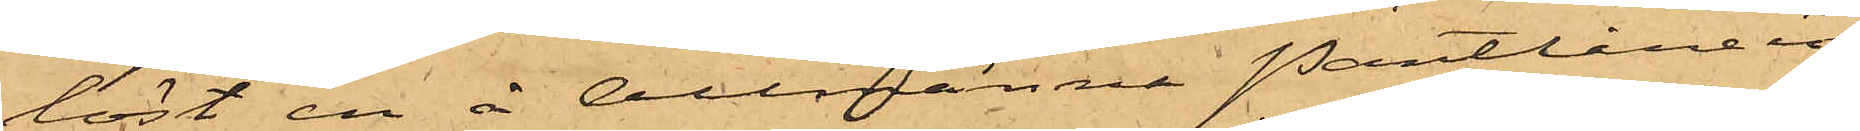löst en å Allmänna Pantlånein¬
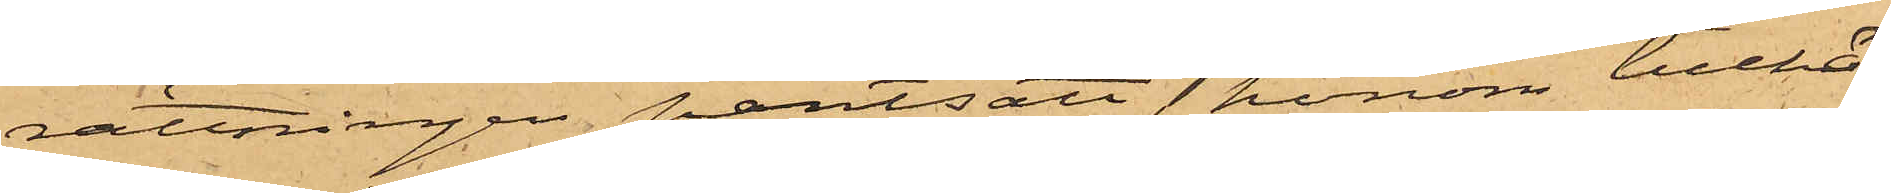rättningen pantsatt honom tillhö¬
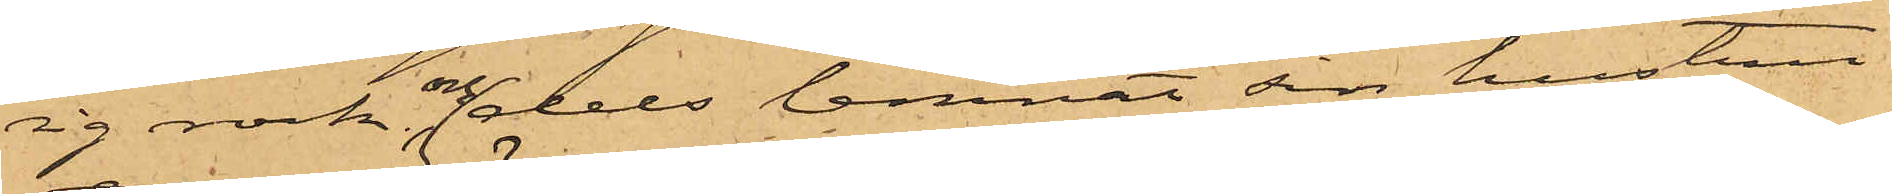ig rock; och dels lemnat sin hustru
